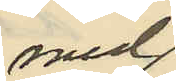med
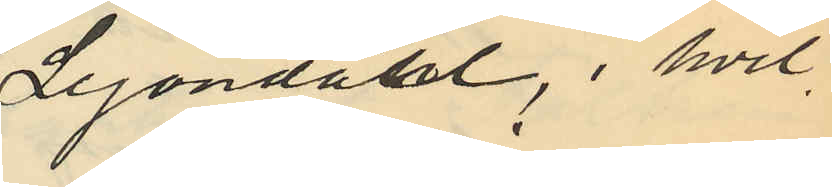Lejondahl, i hvil¬
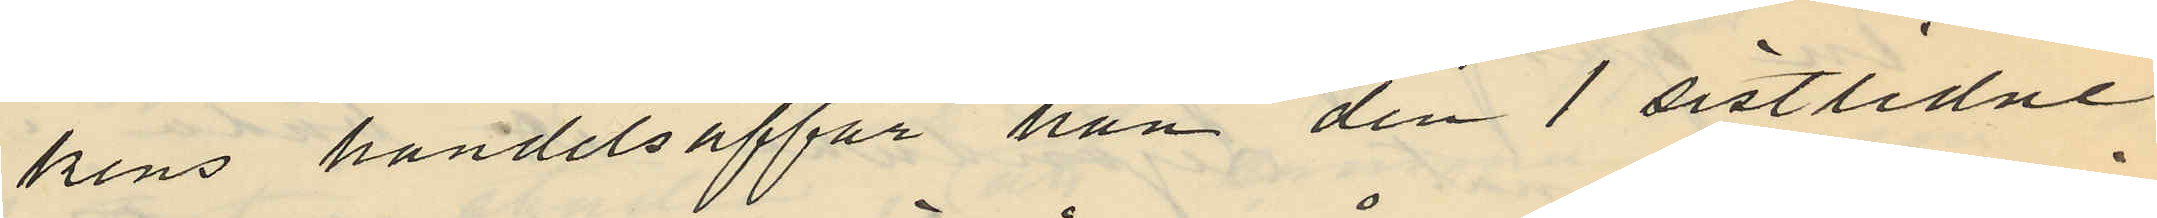kens handelsaffär han den 1 sistlidne
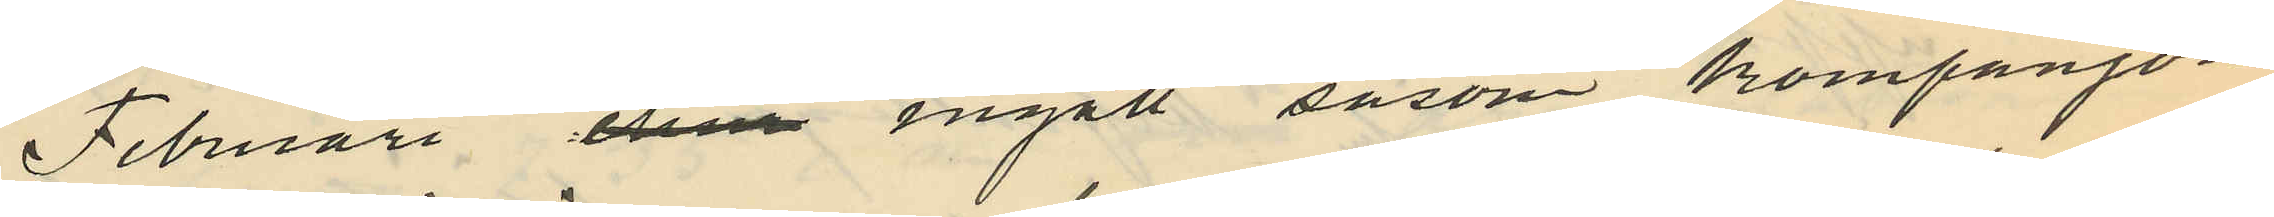Februari dem ingått såsom kompanjon
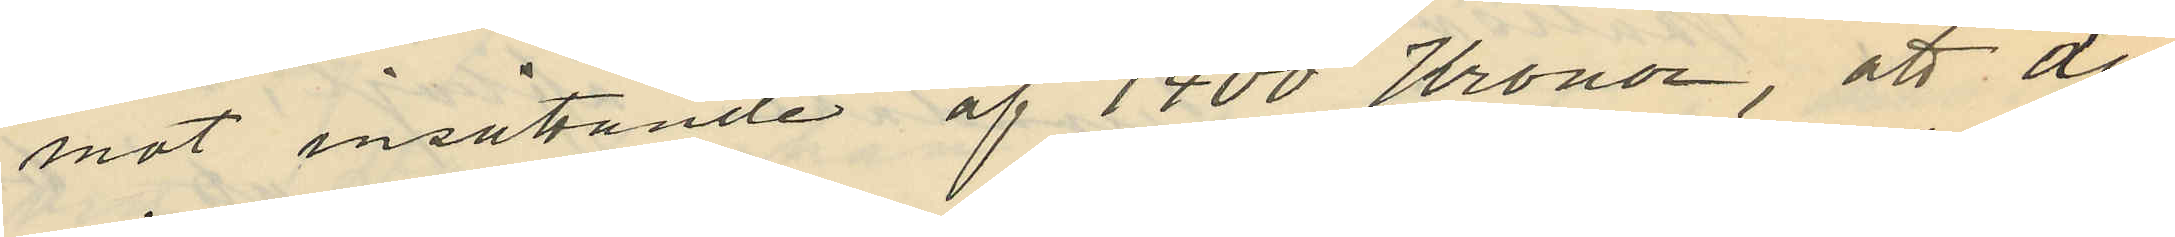mot insättande af 1400 Kronor, att då
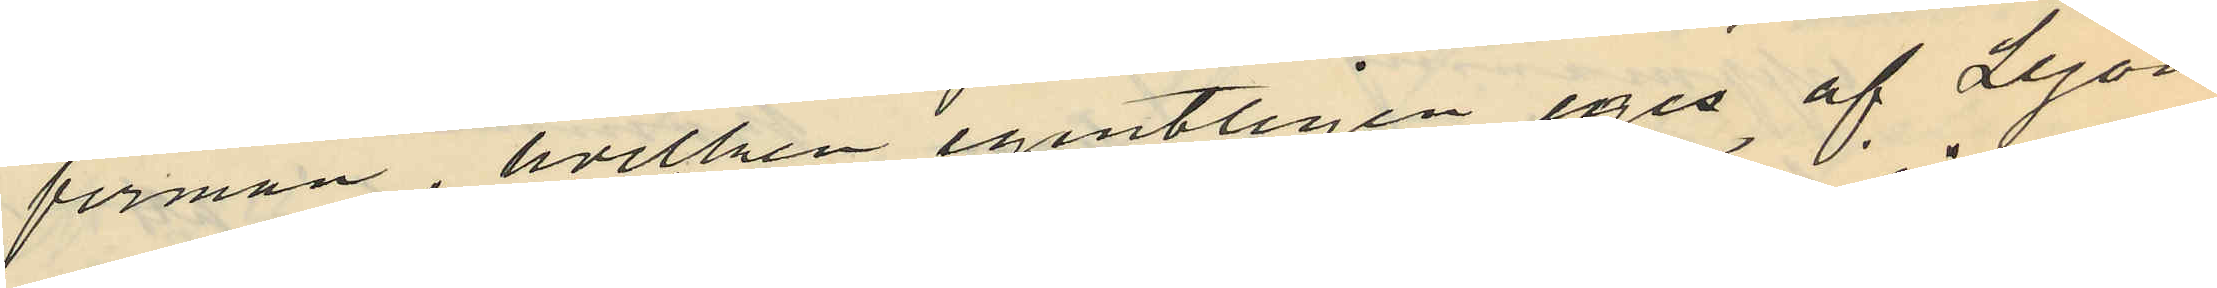firman, hvilken egentligen eges af Lejon
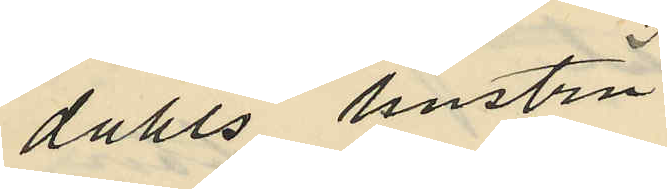dahls hustru
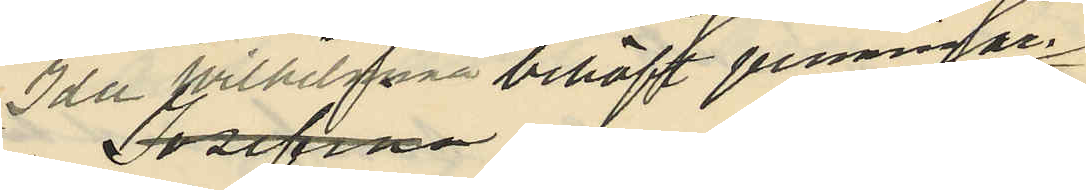Ida Wilhelmina behöft penningar
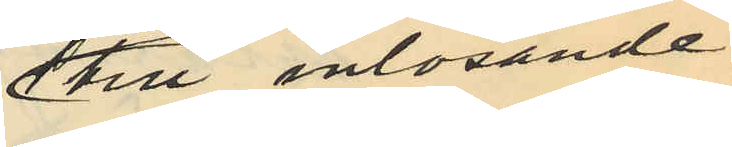till inlösande
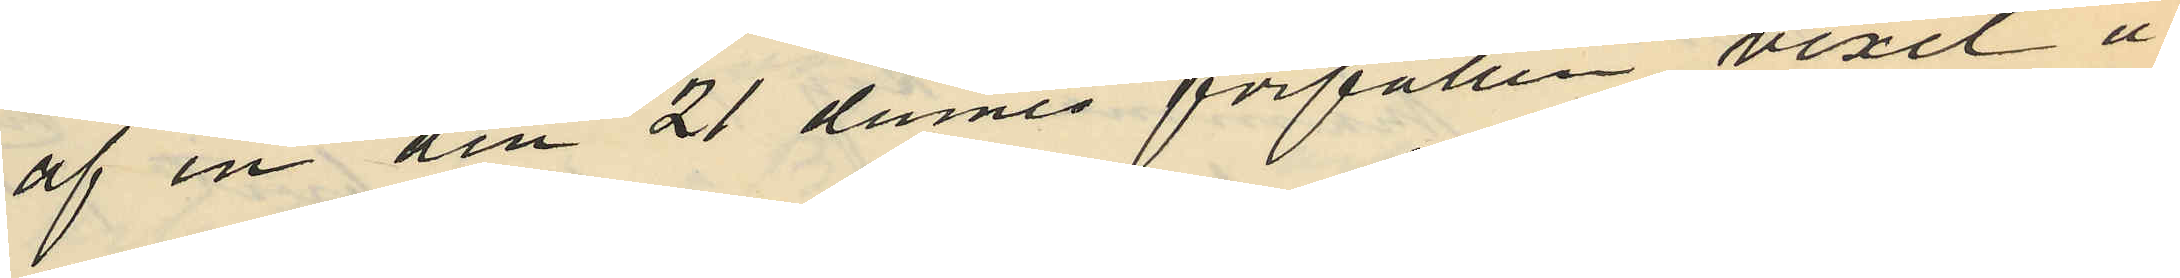af en den 21 dennes förfallen vexel å
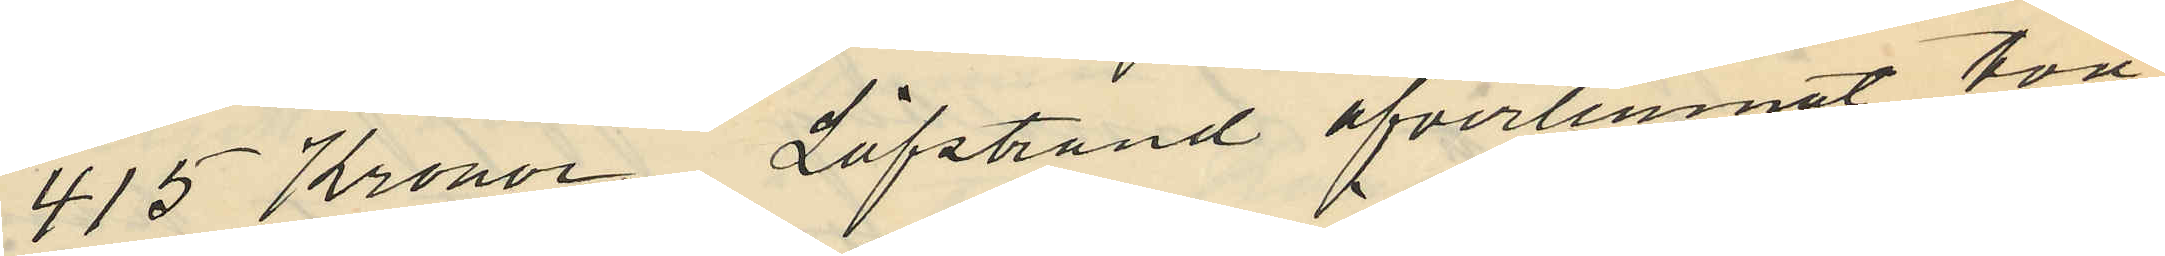415 Kronor, Löfstrand öfverlemnat två
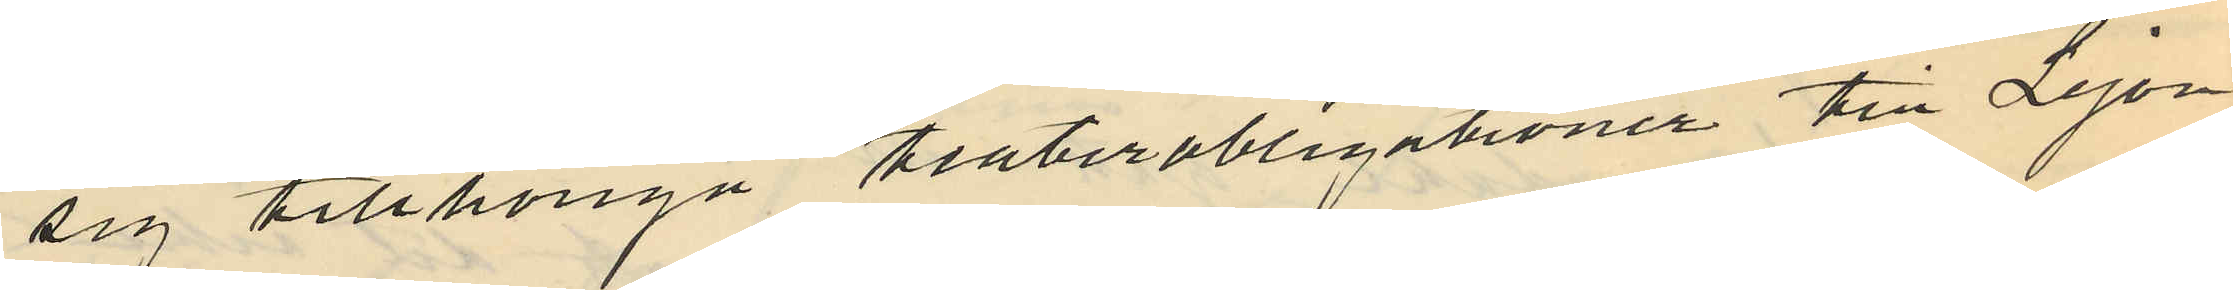sig tillhöriga teaterobligationer till Lejon
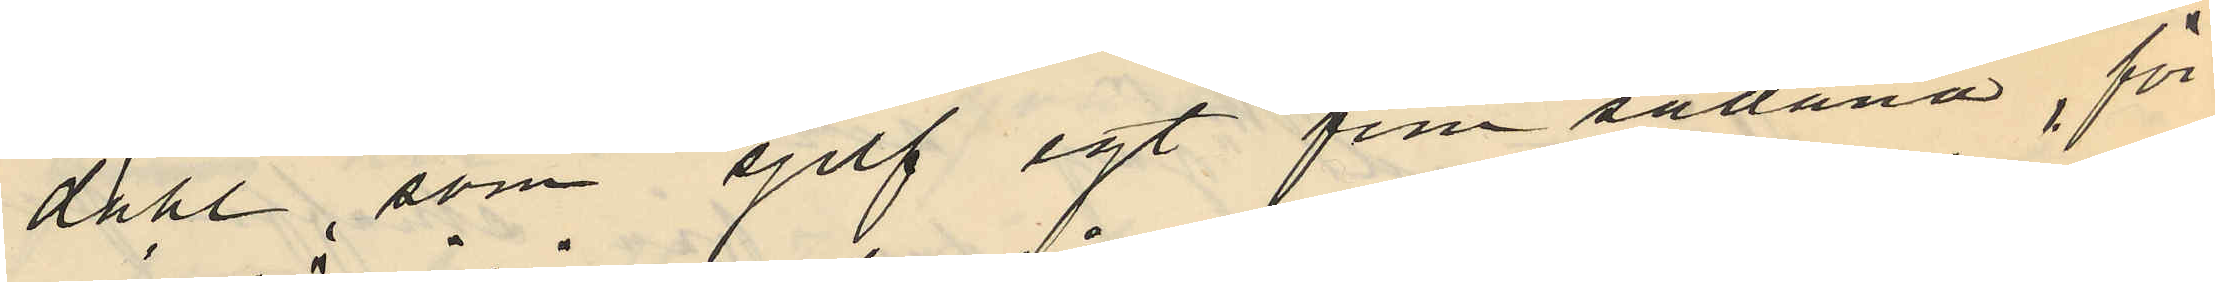dahl, som sjelf egt fem sådana, för
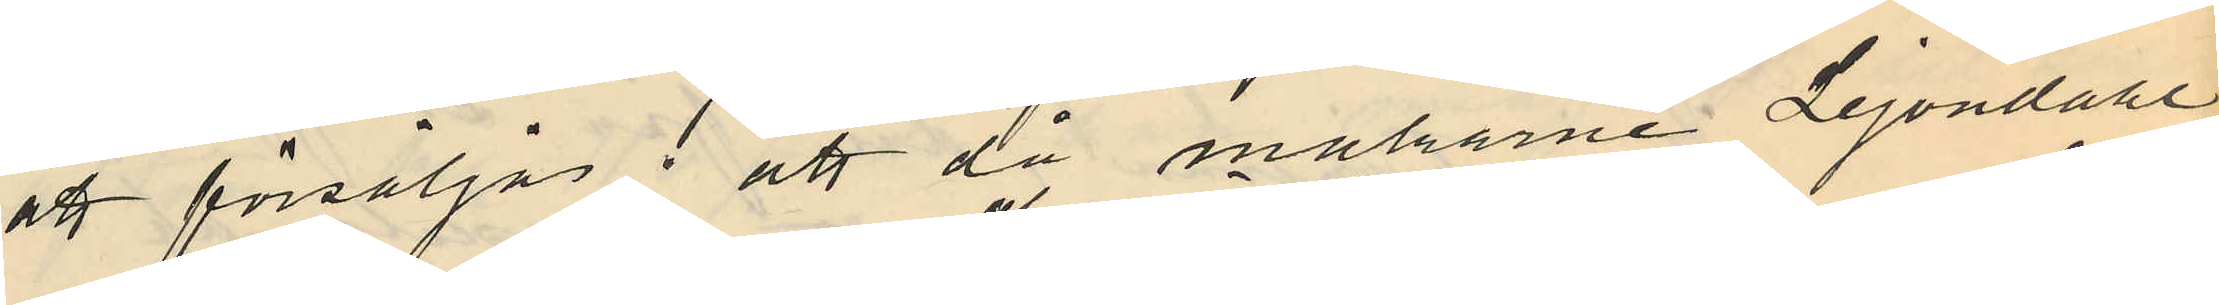att försäljas; att då makarne Lejondahl
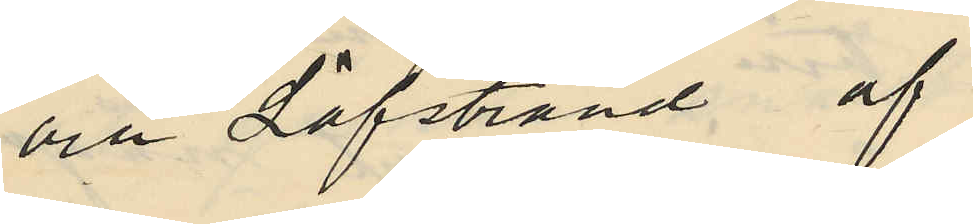och Löfstrand af
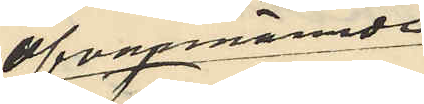ofvanmämnde
